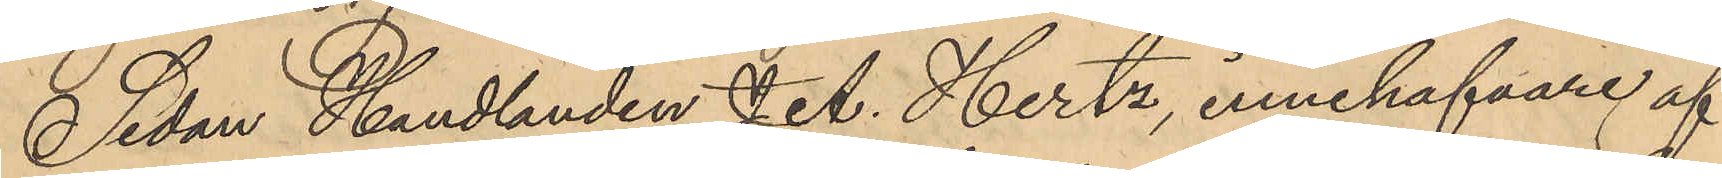Sedan Handlanden J. A. Hertz, innehafvare af
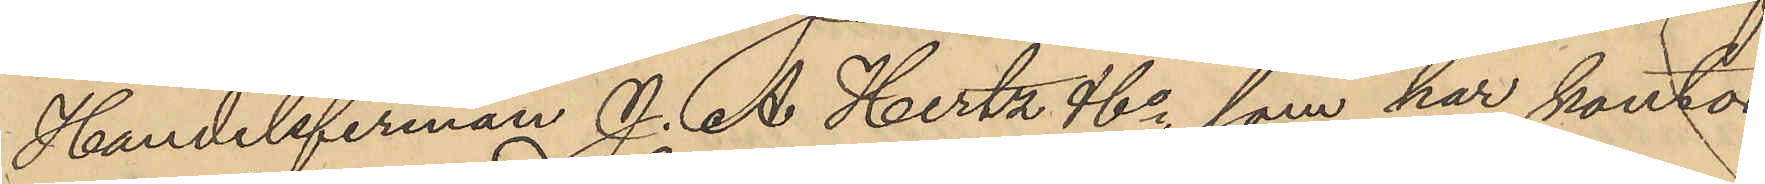Handelsfirman J. A. Hertz & Co, som har kontor
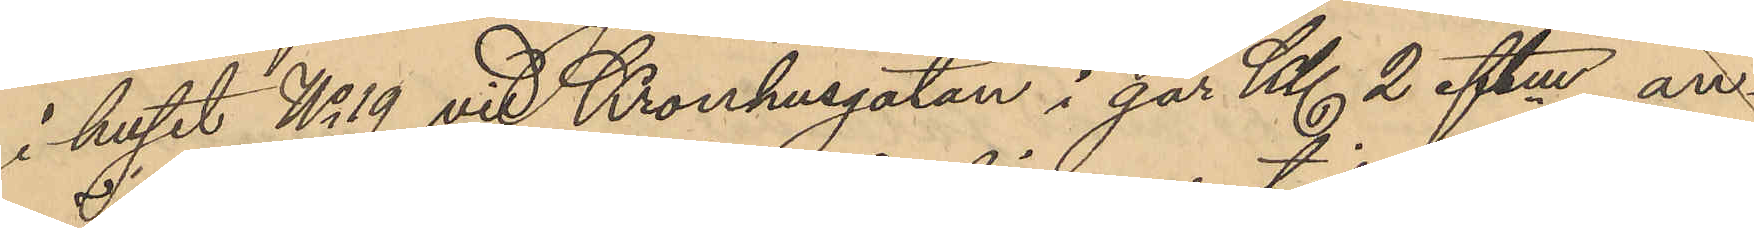i huset No 19 vid Kronhusgatan i går Kl. 2 eftm. an¬
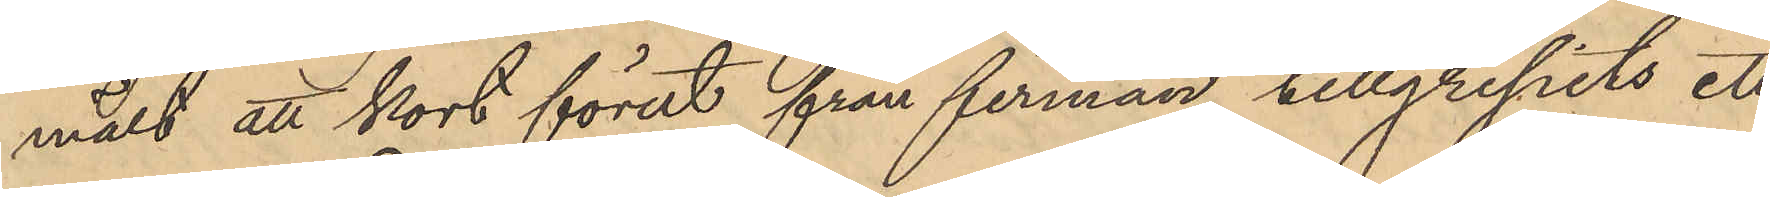mält att kort förut från firman tillgripits ett
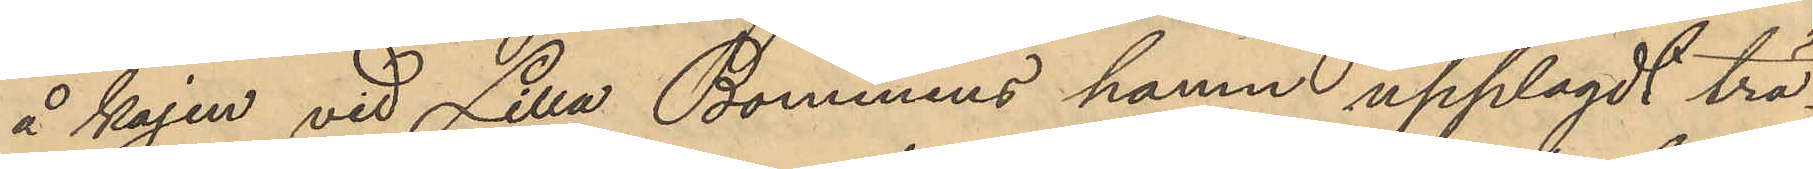å kajen vid Lilla Bommens hamn upplagdt trä¬
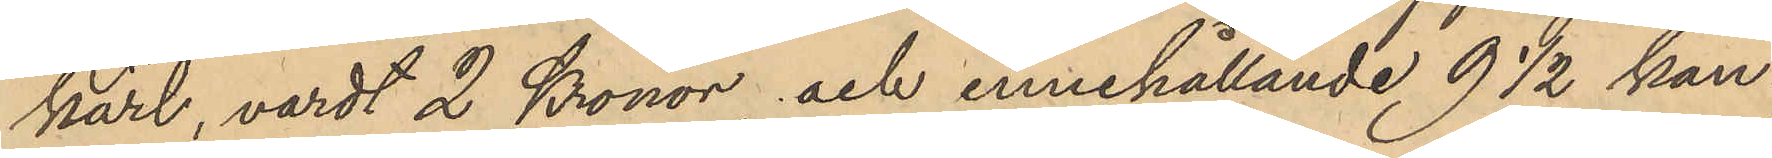kärl, vardt 2 Kronor och innehållande 9 1/2 kan¬
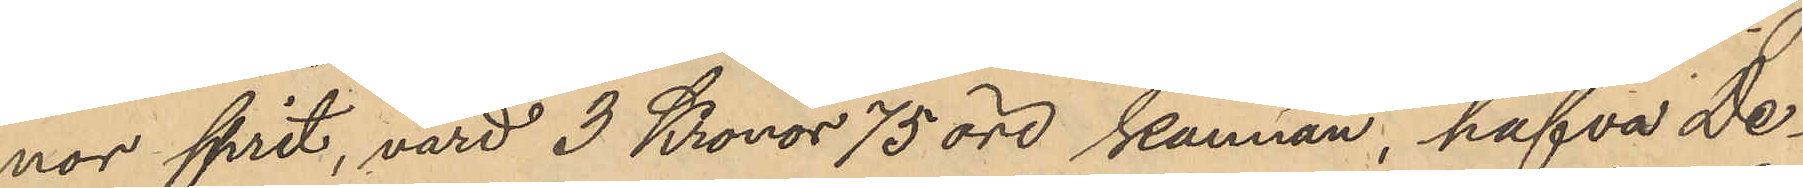nor sprit, värd 3 Kronor 75 öre kannan, hafva De¬
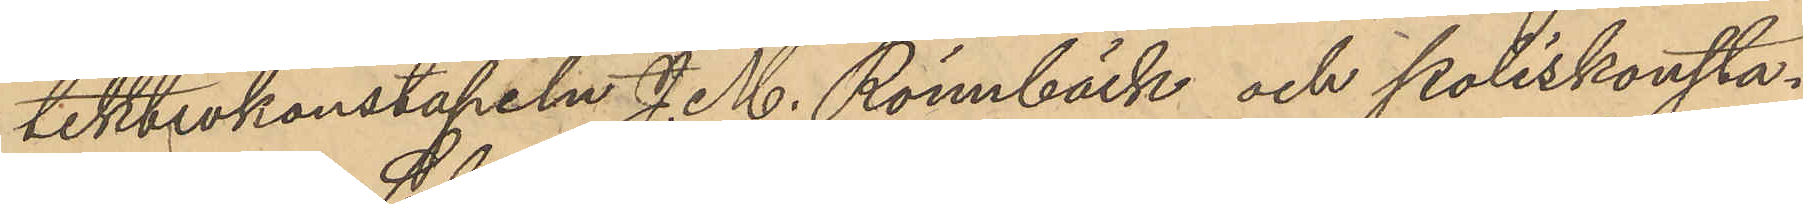tektivkonstapeln J. M. Rönnbäck och Poliskonsta¬
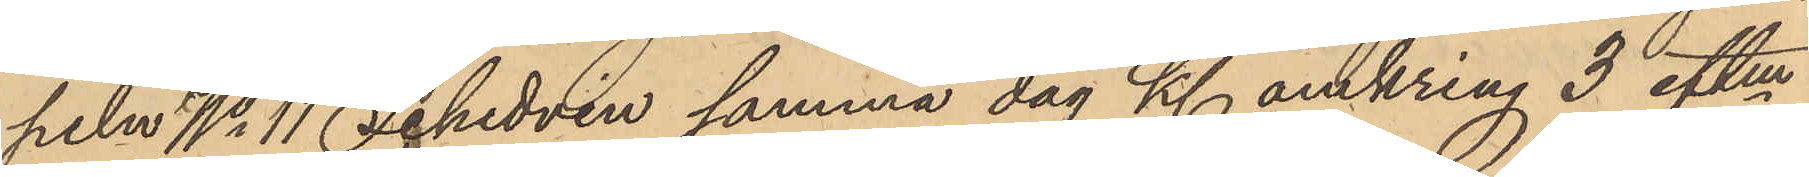peln No 11 Sehedvin samma dag Kl. omkring 3 eftm.
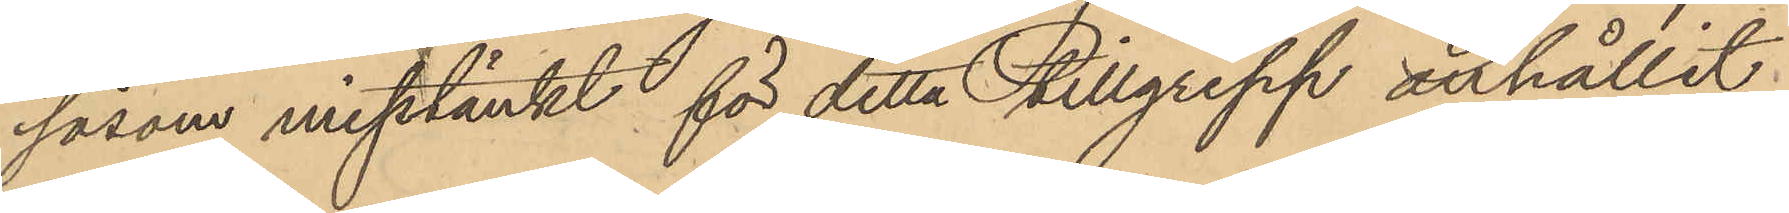såsom misstänkt för detta tillgrepp anhållit
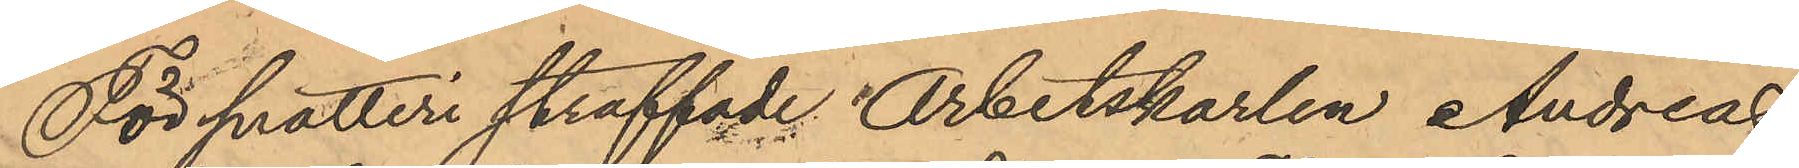För snatteri straffade Arbetskarlen Andreas
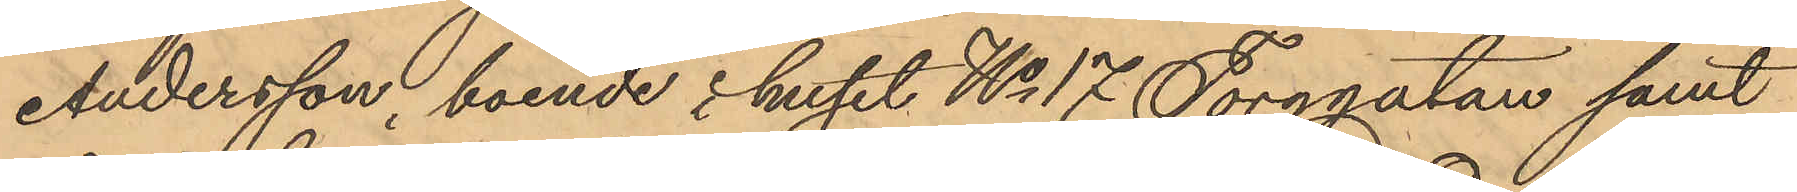Andersson, boende i huset No 17 Torggatan samt
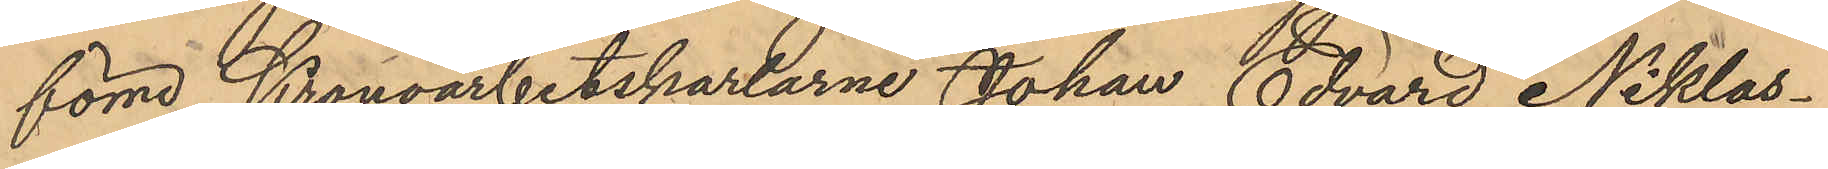förre Kronoarbetskarlarne Johan Edvard Niklas¬
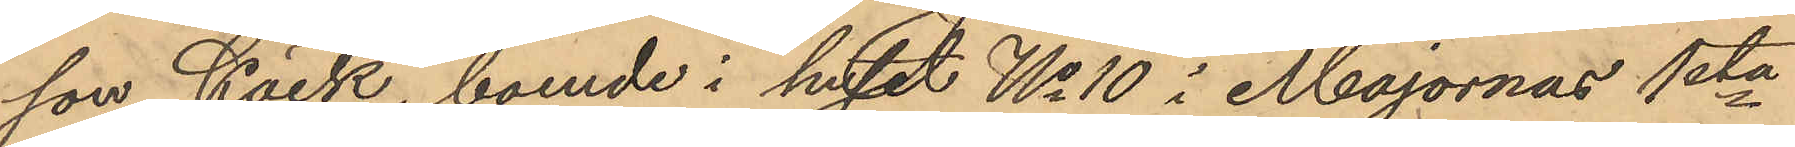son Käck, boende i huset No 10 i Majornas 1sta
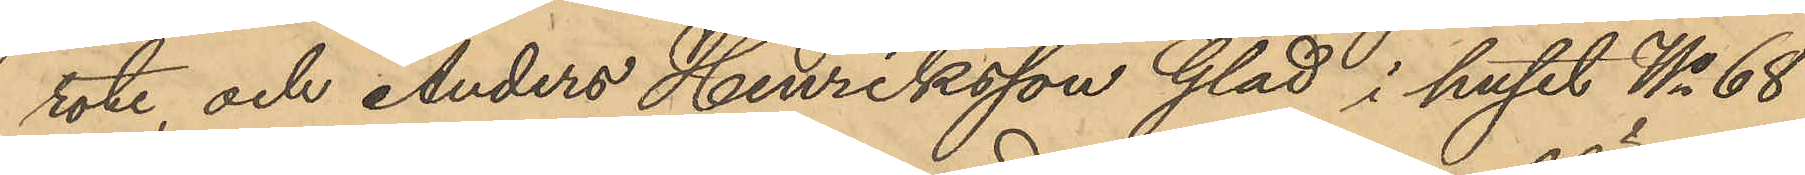rote, och Anders Henriksson Glad i huset No 68
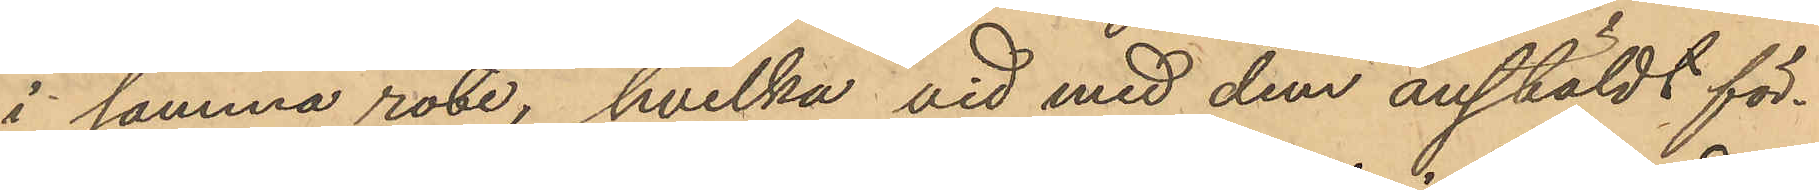i samma rote, hvilka vid med dem anstäldt för¬
